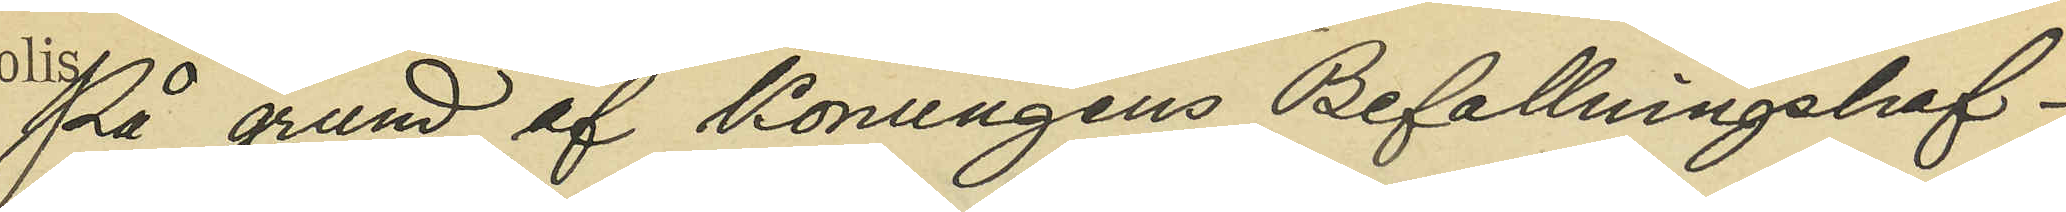På grund af Konungens Befallningshaf¬
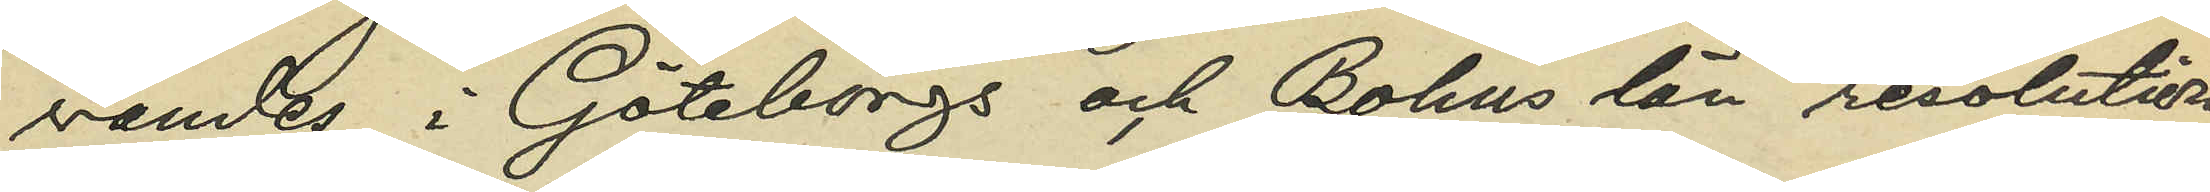vandes i Göteborgs och Bohus län resolution
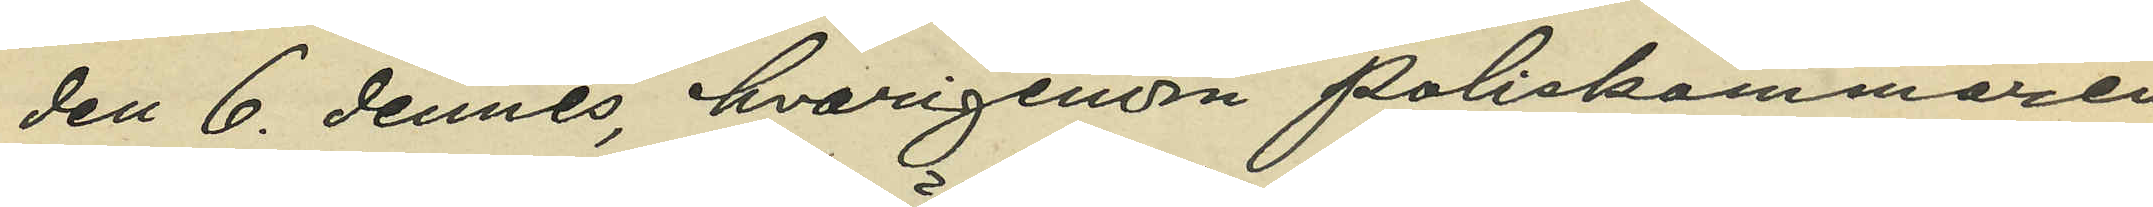den 6. dennes, hvarigenom Poliskammaren
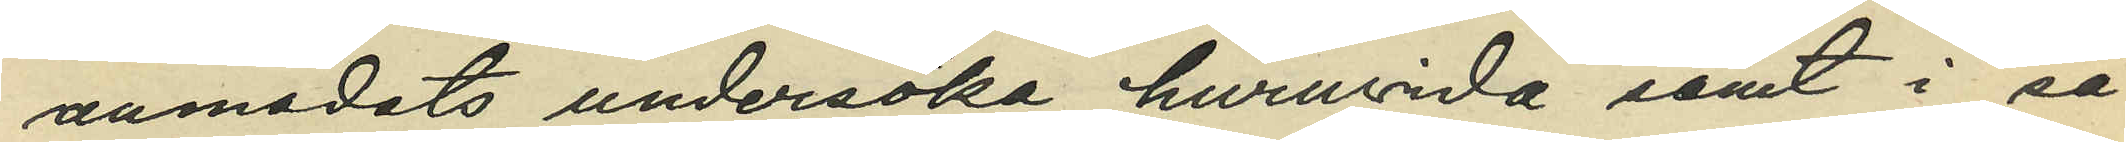anmodats undersöka huruvida samt i så
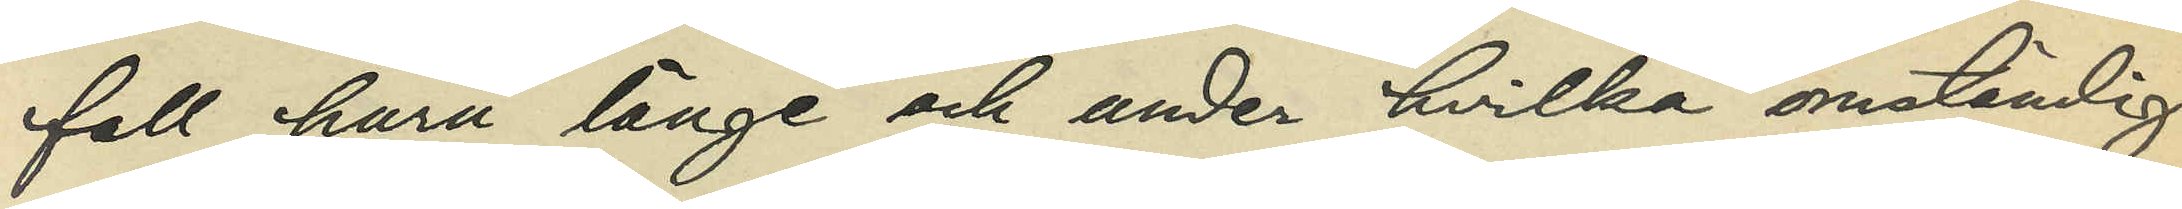fall huru länge och under hvilka omständig¬
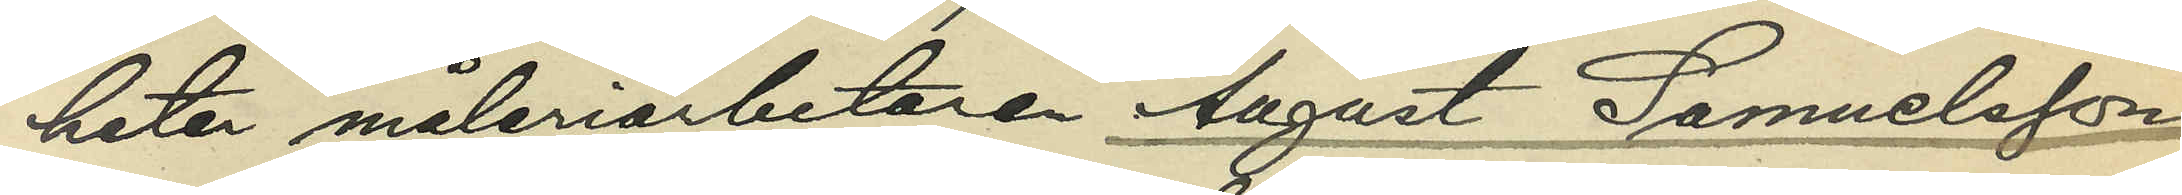heter måleriarbetaren August Samuelsson
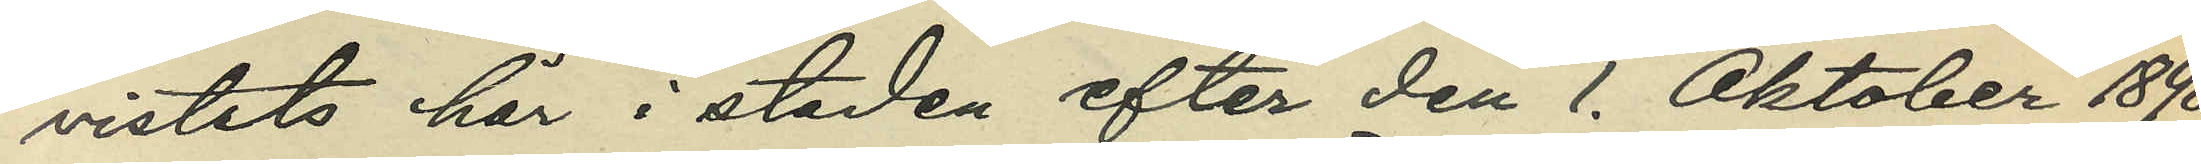vistats här i staden efter den 1. Oktober 1898,
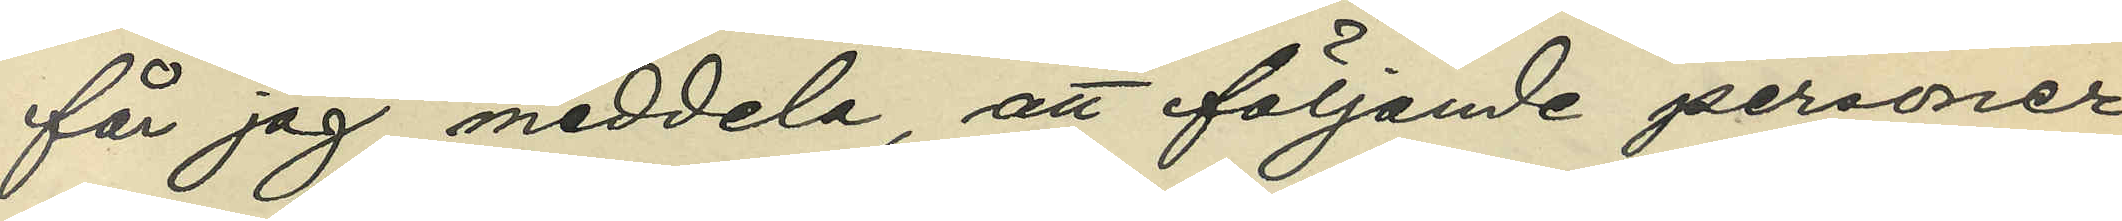får jag meddela, att följande personer
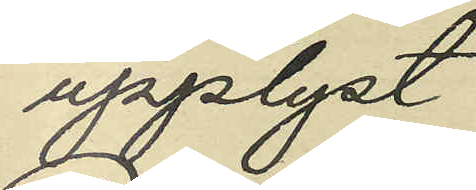upplyst:
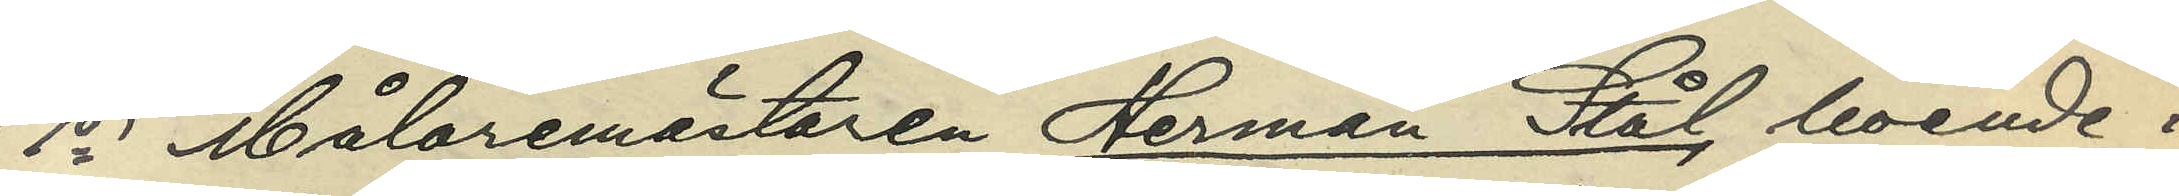1o Målaremästaren Herman Stål, boende i
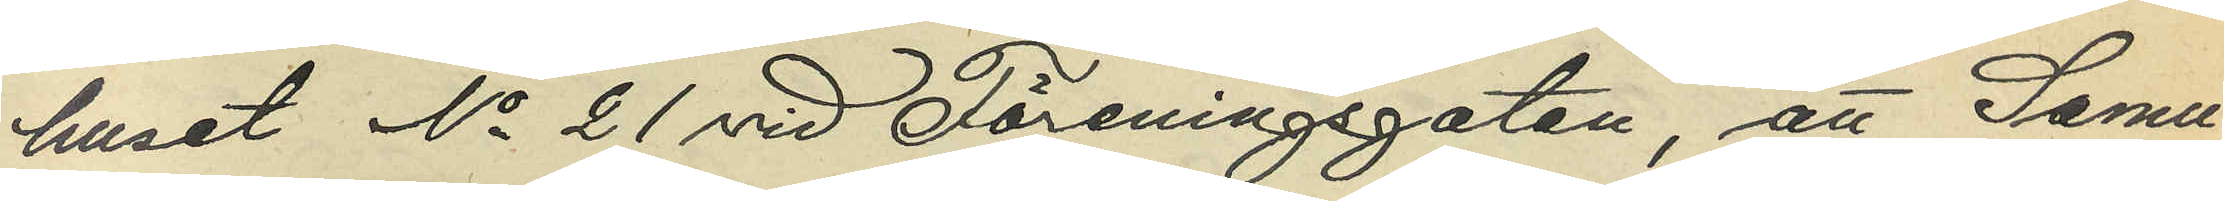huset No 21 vid Föreningsgatan, att Samu¬
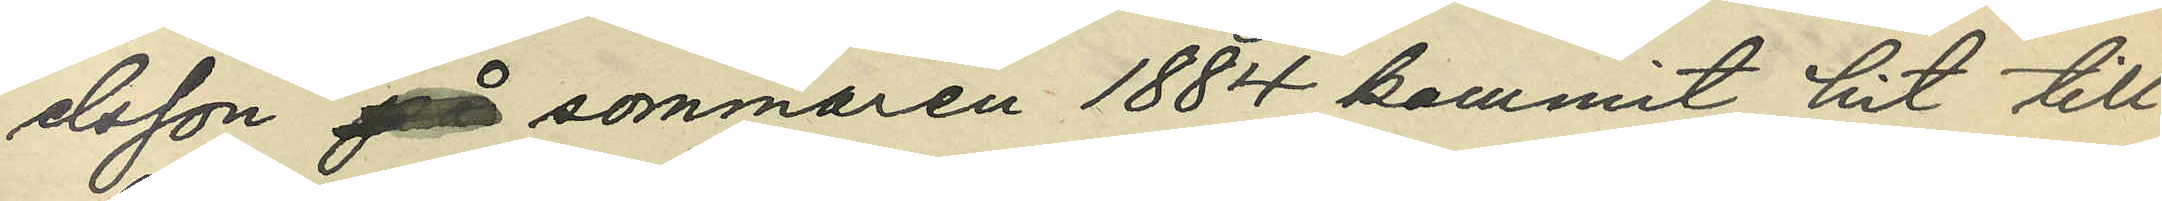elson på sommaren 1884 kommit hit till
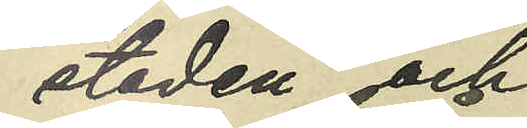staden och
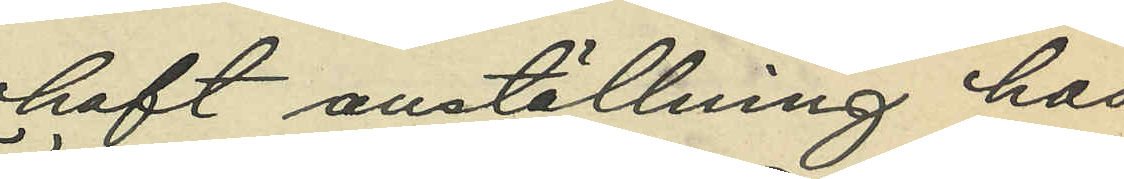haft anställning hos
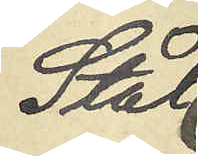Stål
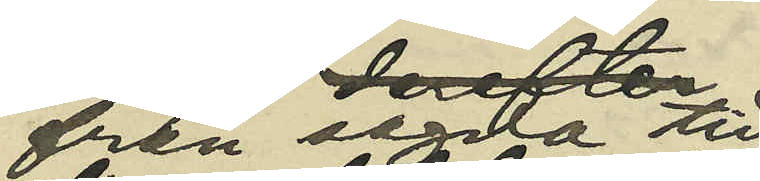från sagda tid
